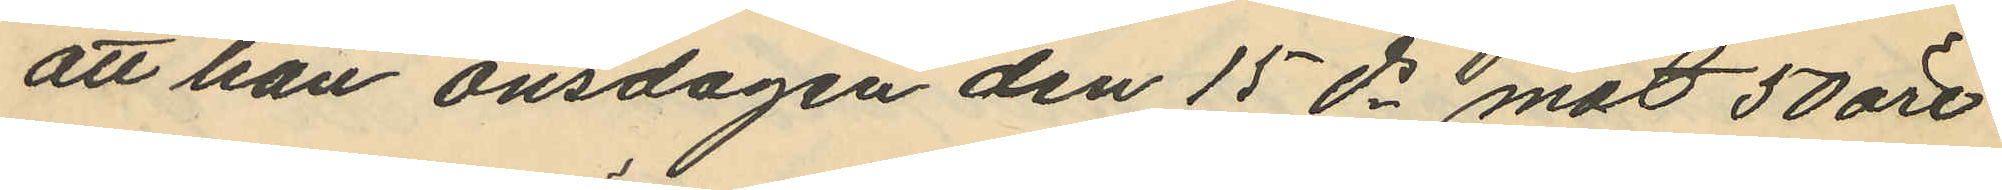att han onsdagen den 15 ds mot 50 öre
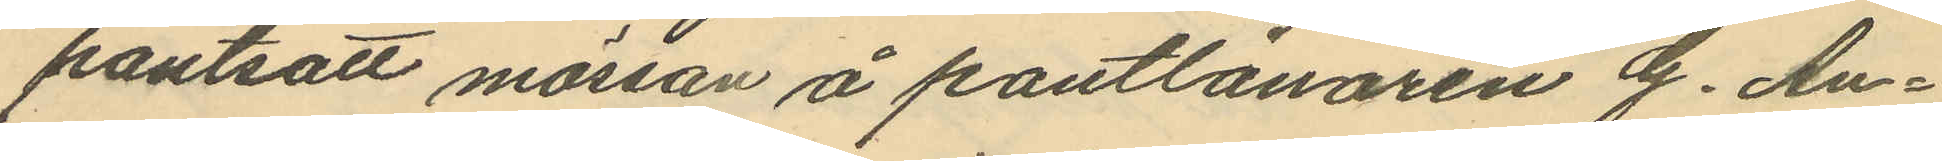pantsatt mössan å pantlånaren G. An¬
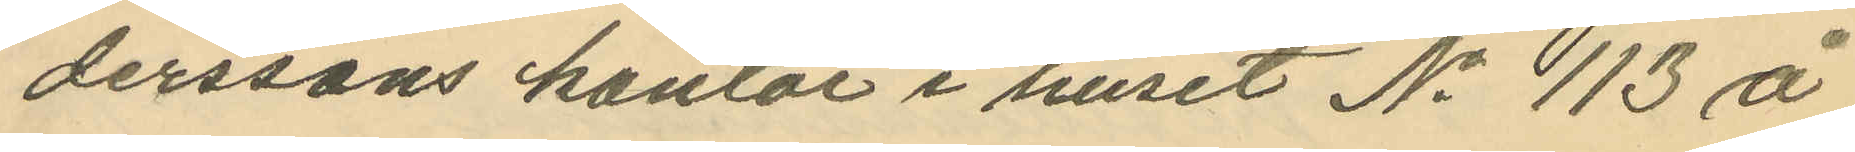derssons kontor i huset No 113 å
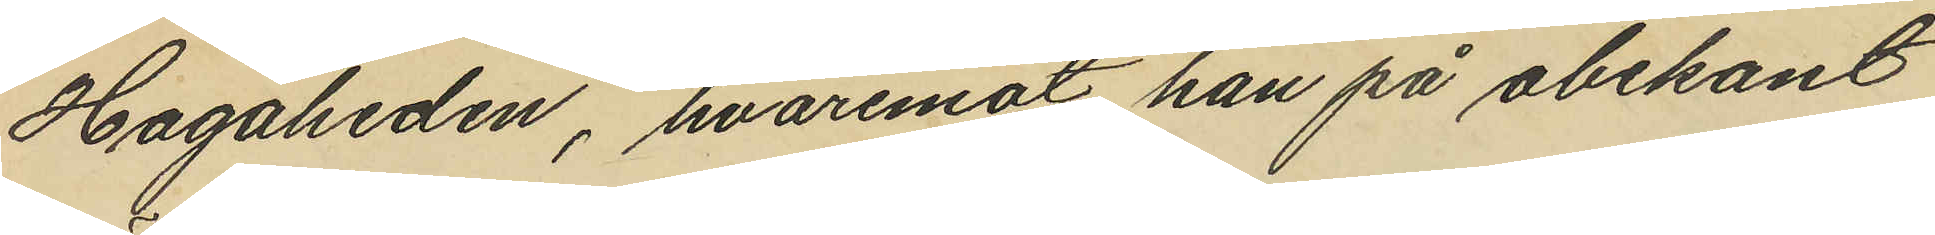Hagaheden, hvaremot han på obekant
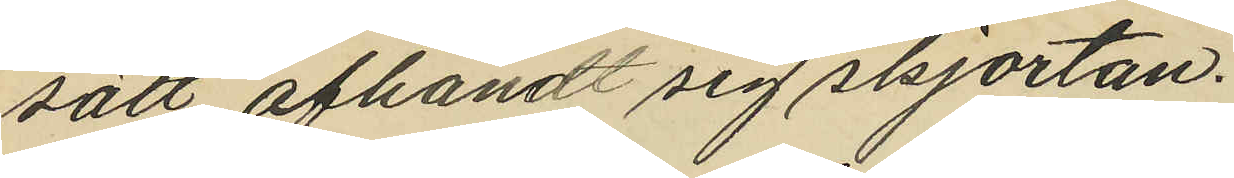sätt afhändt sig skjortan.
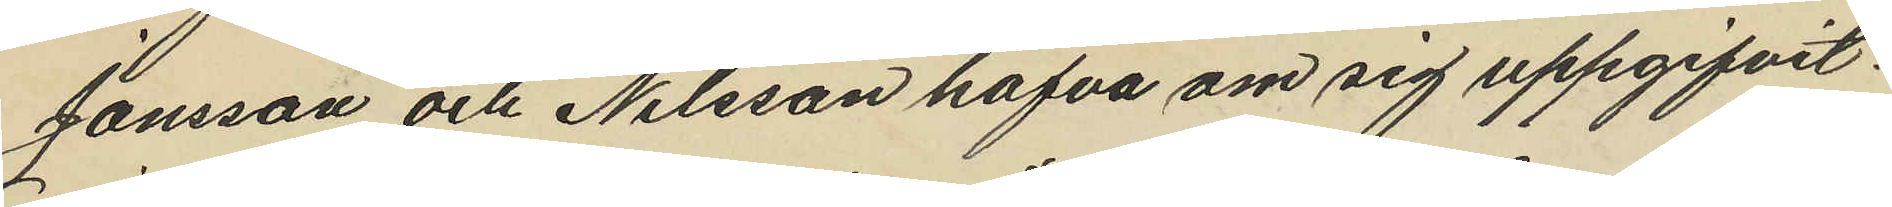Jonsson och Nilsson hafva om sig uppgifvit:
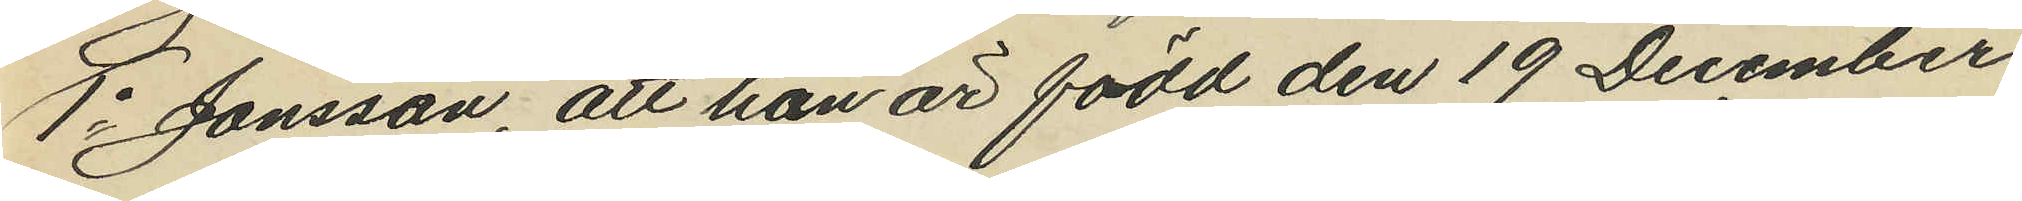1o Jonsson, att han är född den 19 December
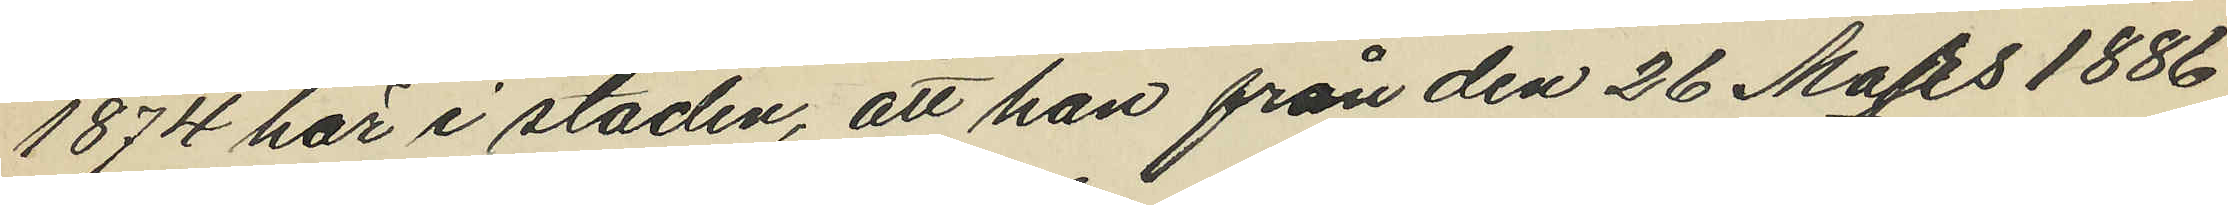1874 här i staden, att han från den 26 Mars 1886
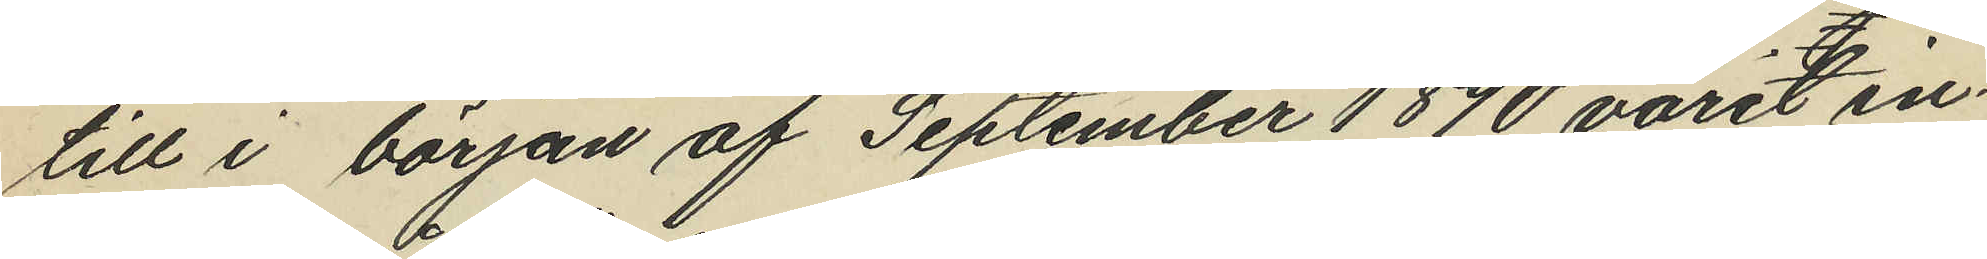till i början af September 1890 varit in¬
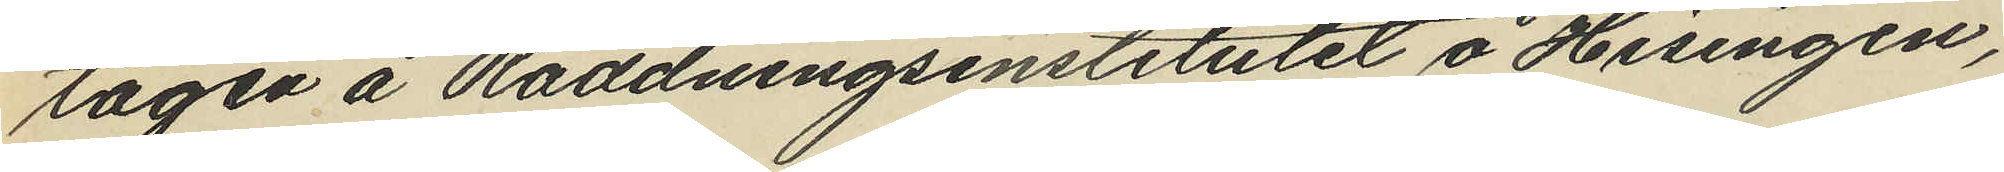tagen å Räddningsinstitutet å Hisingen,
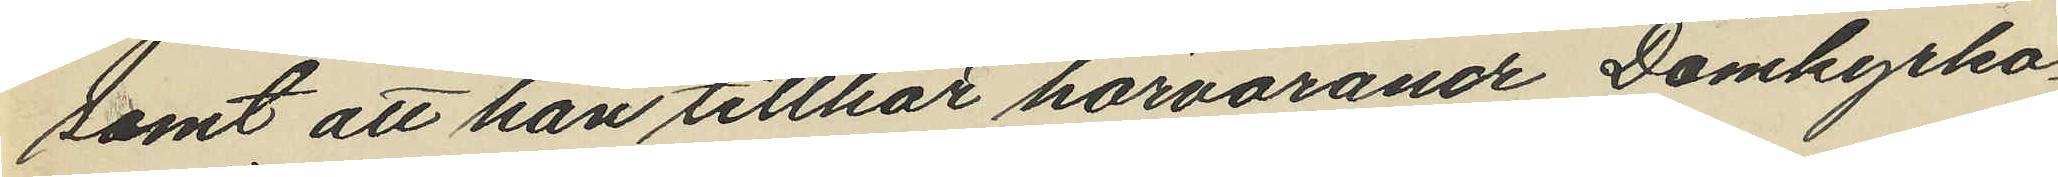samt att han tillhör härvarande Domkyrko¬
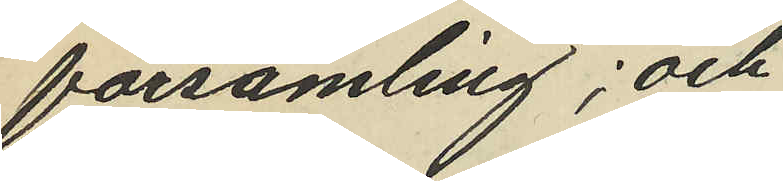församling; och
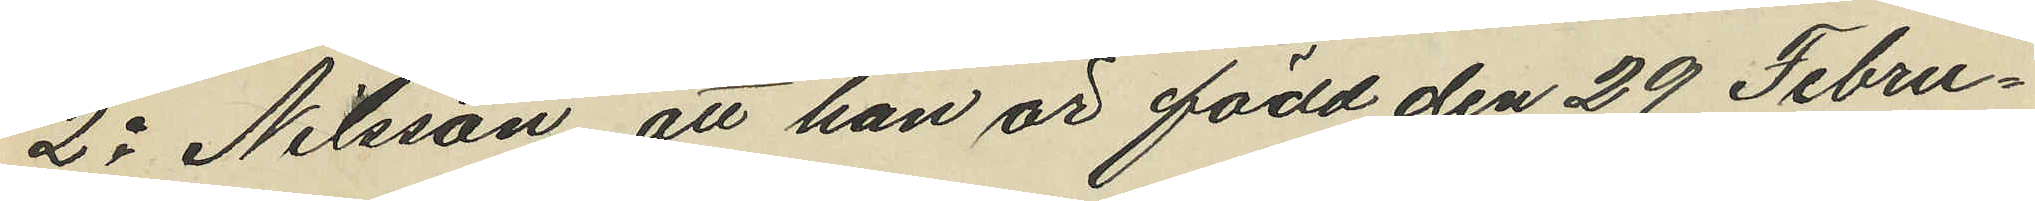2o Nilsson, att han är född den 29 Febru¬
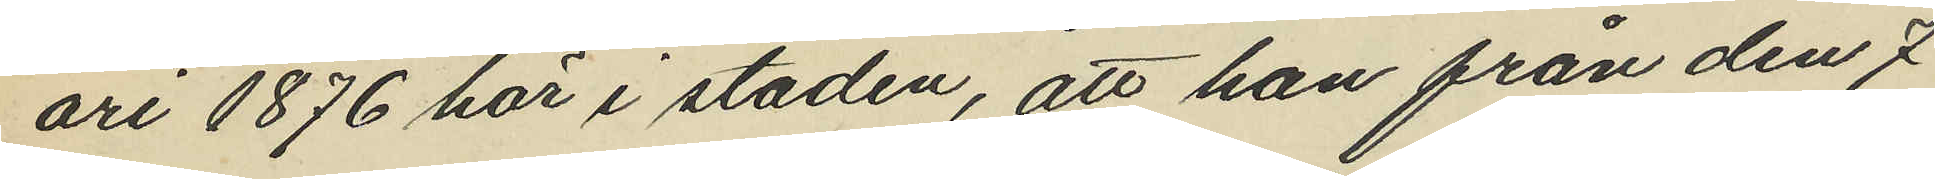ari 1876 här i staden, att han från den 7
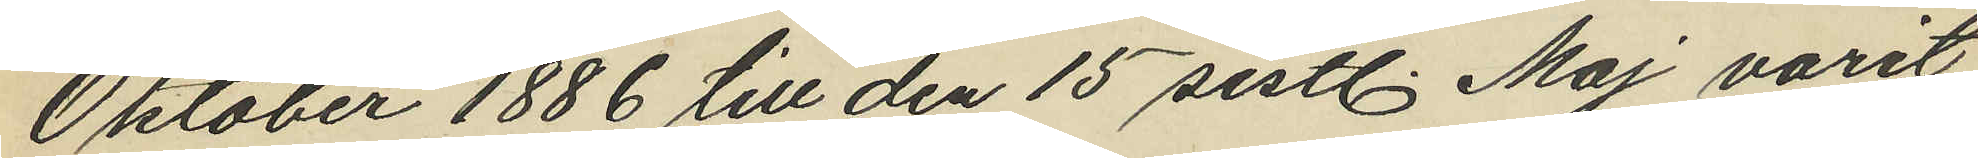Oktober 1886 till den 15 sistl. Maj varit
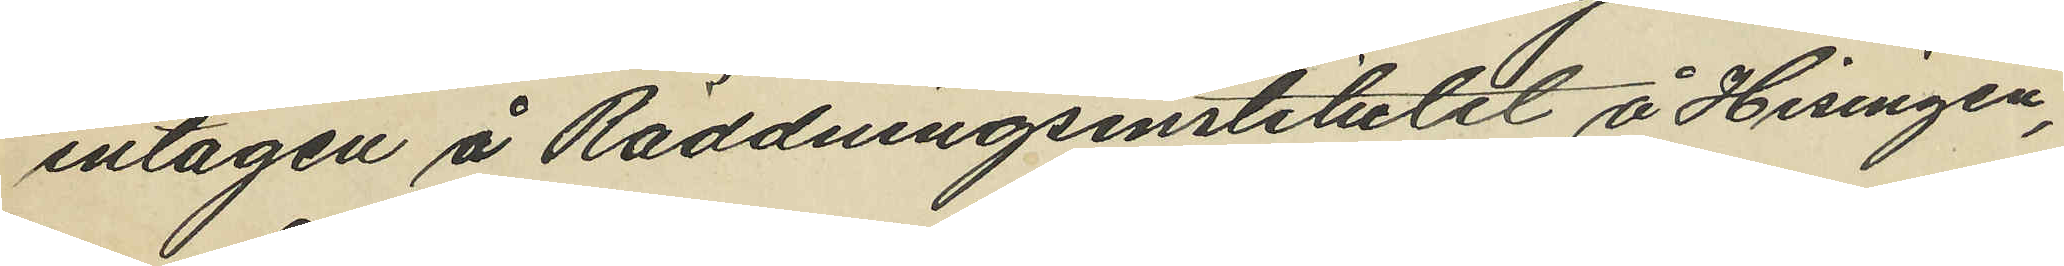intagen å Räddningsinstitutet å Hisingen,
